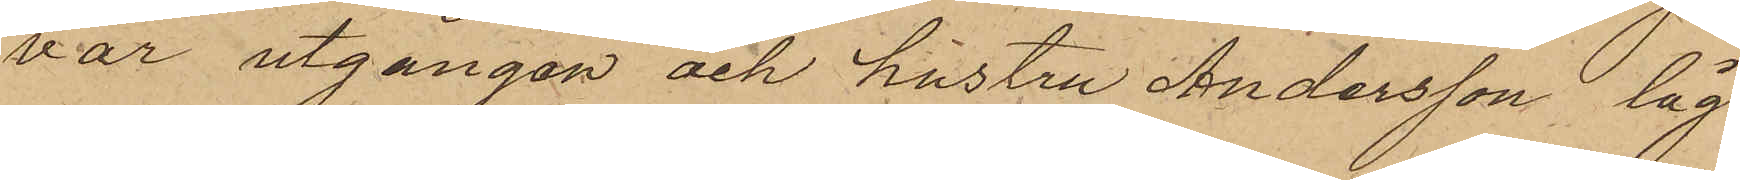var utgången och hustru Andersson låg
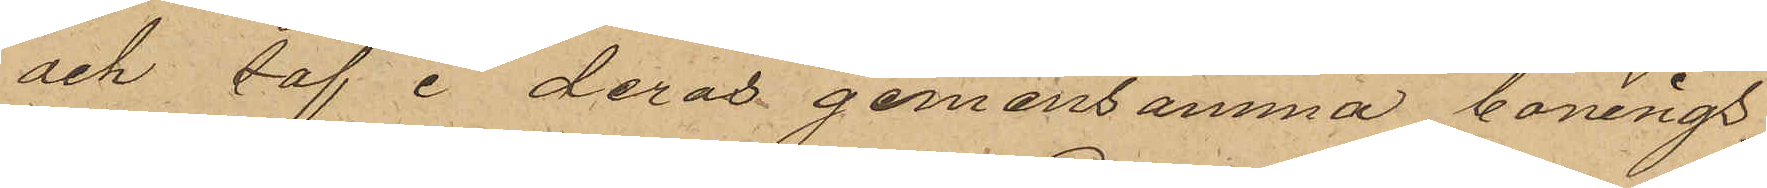och såf i deras gemensamma bonings¬
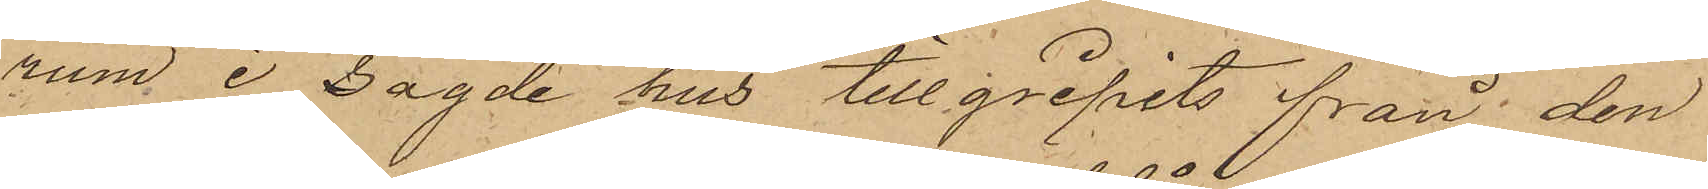rum i sagde hus tillgripits från den
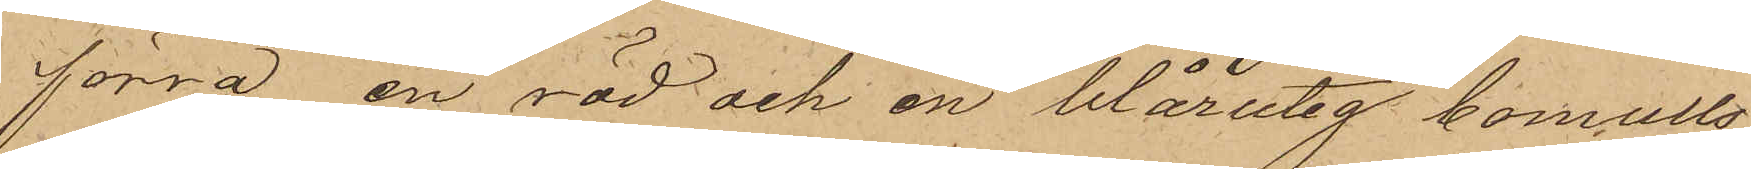förra en röd och en blårutig bomulls¬
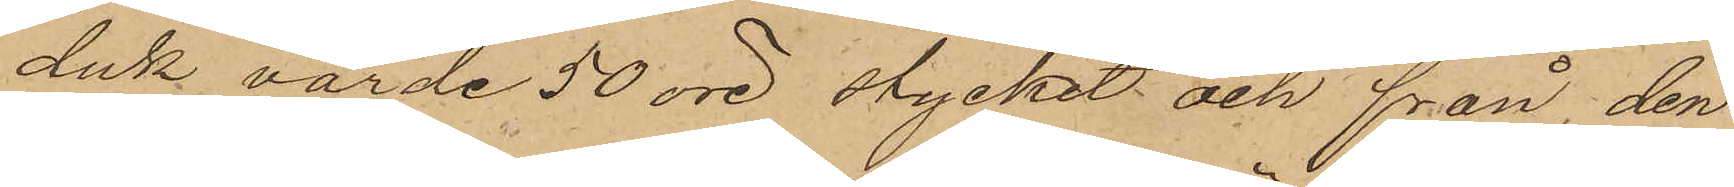duk värde 50 öre stycket och från den
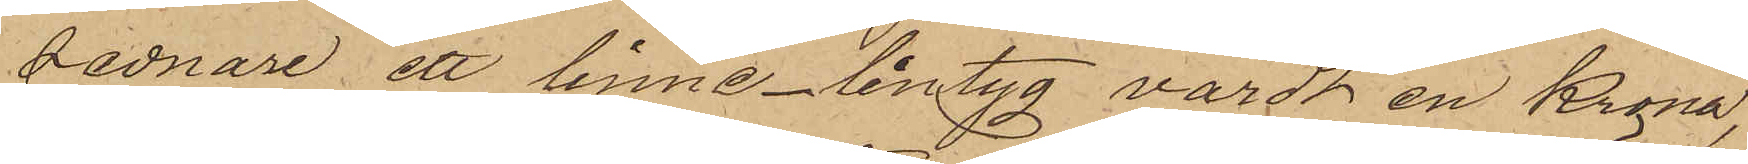sednare ett linnelintyg värdt en Krona,
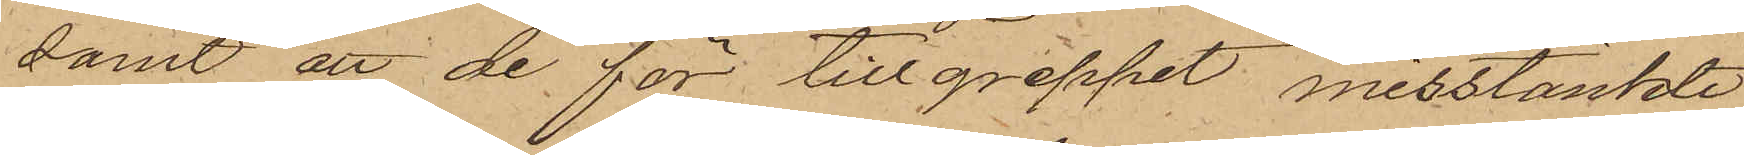samt att de för tillgreppet misstänkte
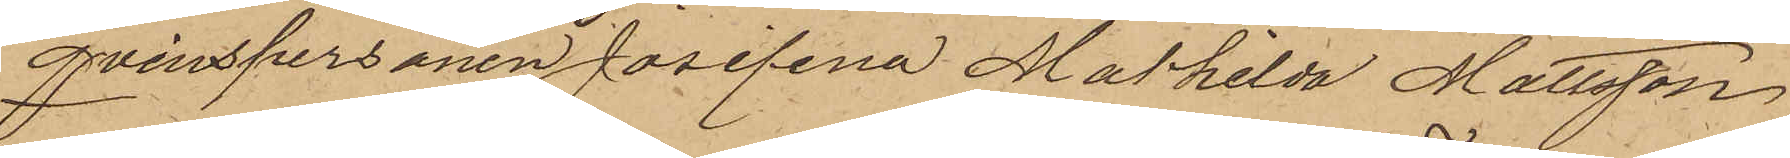Qvinspersonen Josefina Mathilda Mattsson
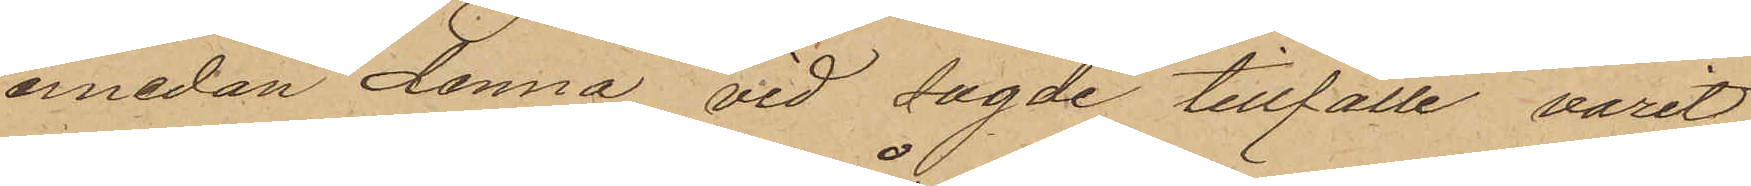emedan denna vid sagde tillfälle varit
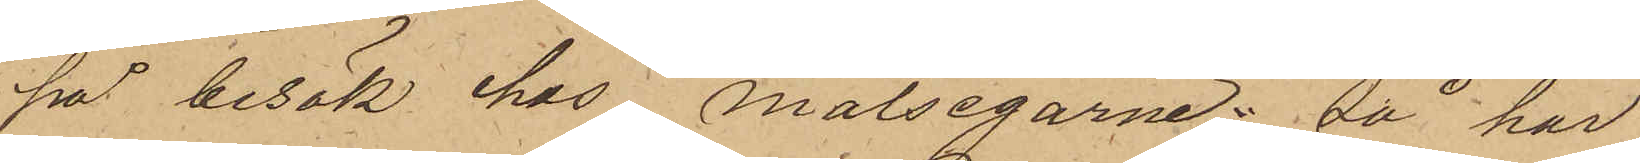på besök hos målsegarne; så har
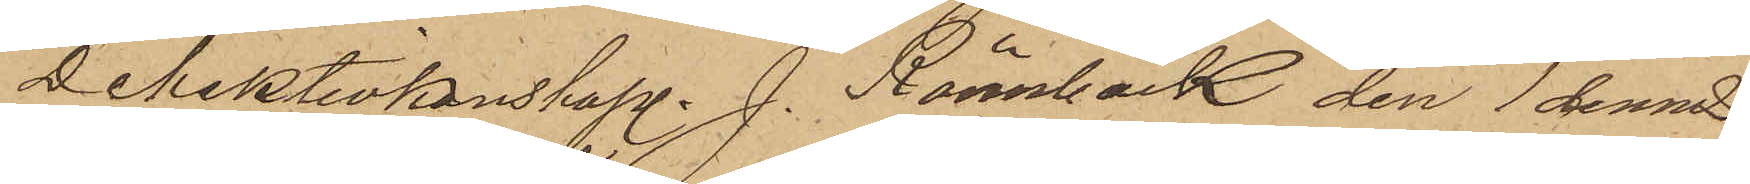Detektivkonstapl. J. Rönnbäck den 1 dennes
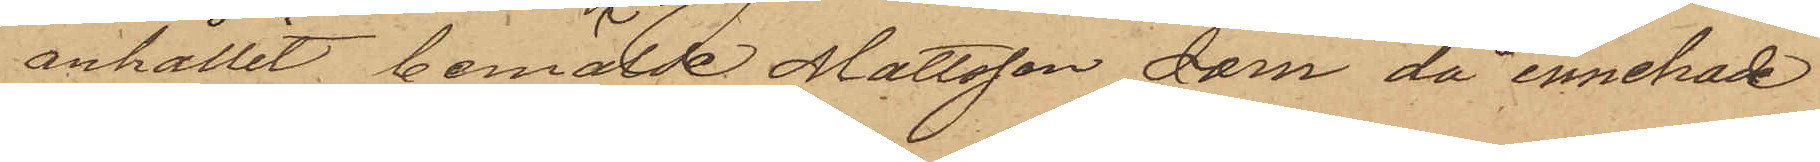anhållit bemälde Mattsson som då innehade
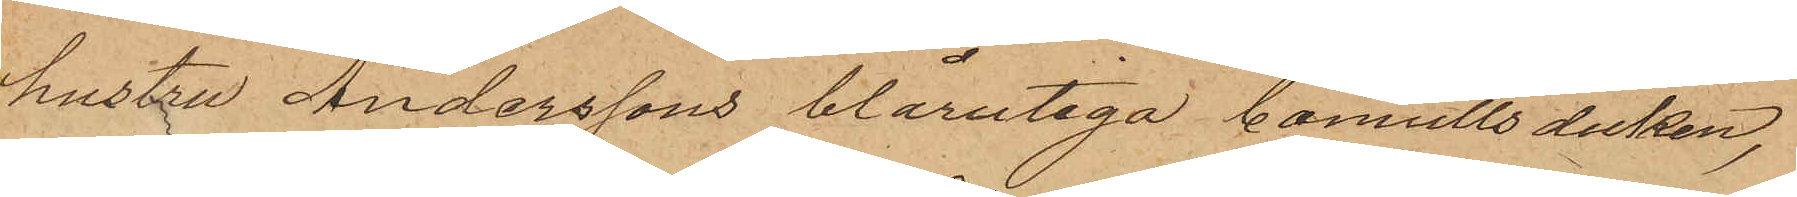hustru Anderssons blårutiga bomullsduken,
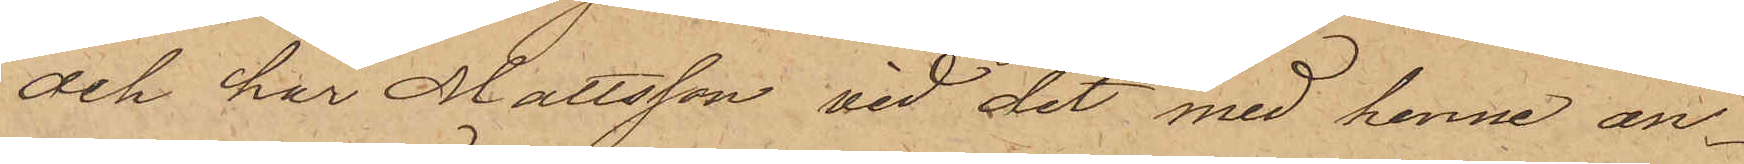och har Mattsson vid det med henne an¬
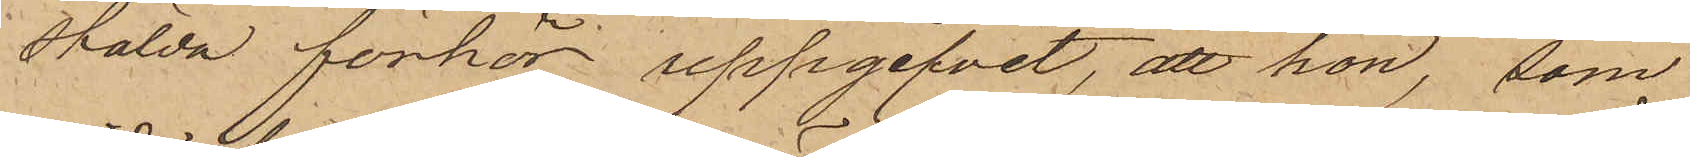stälda förhör uppgifvit, att hon, som
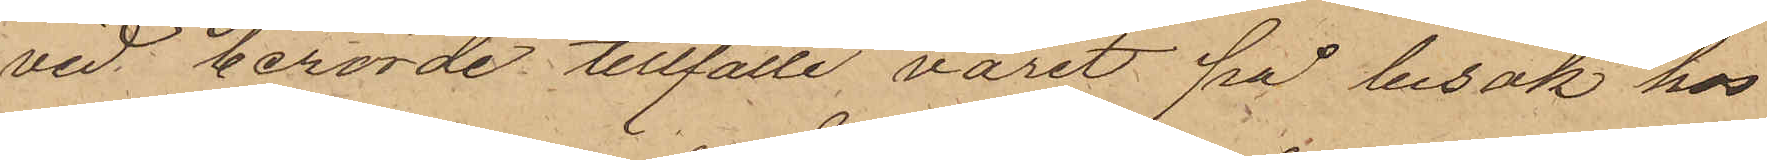vid berörde tillfälle varit på besök hos
